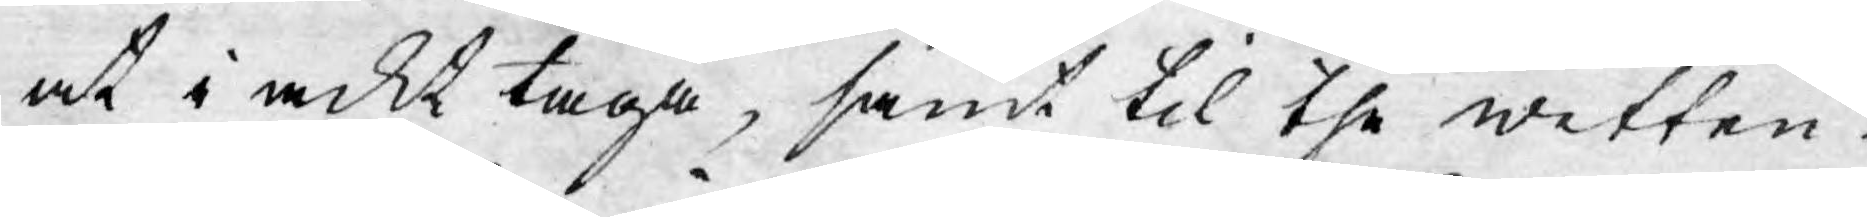at i ackt taga, samt til the wetten¬
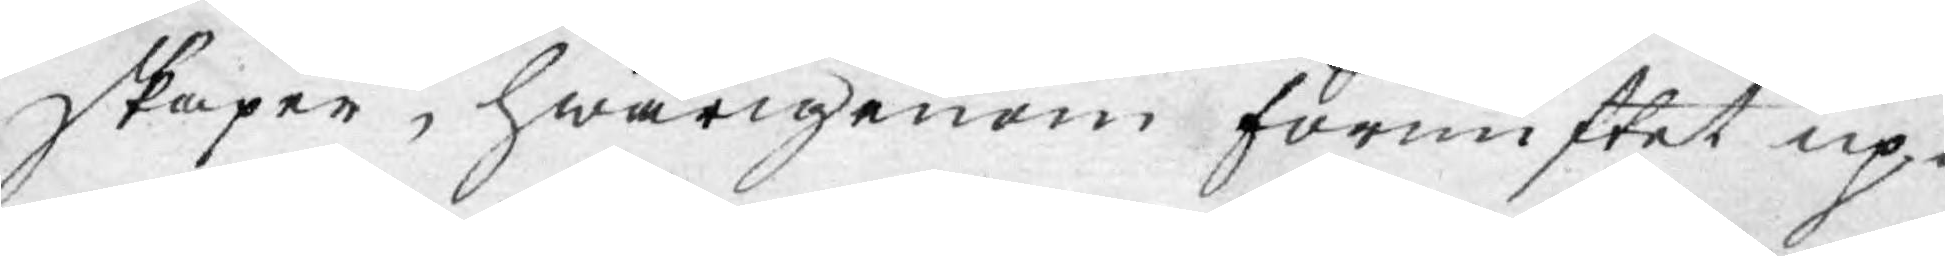skaper, hwarigenom förnuftet up¬
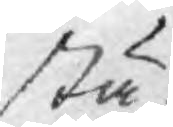står
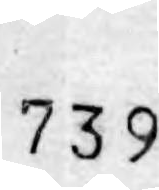739
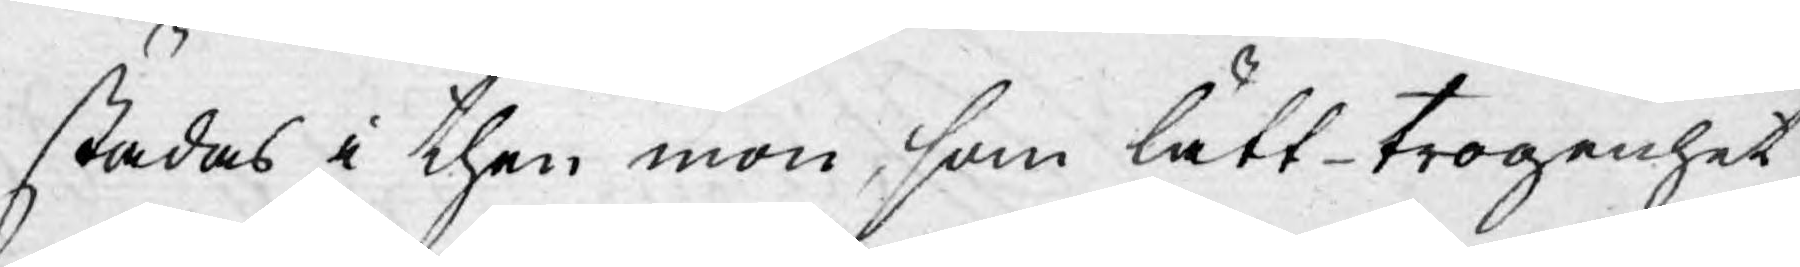städas i then mon, som lätt-trogenhet
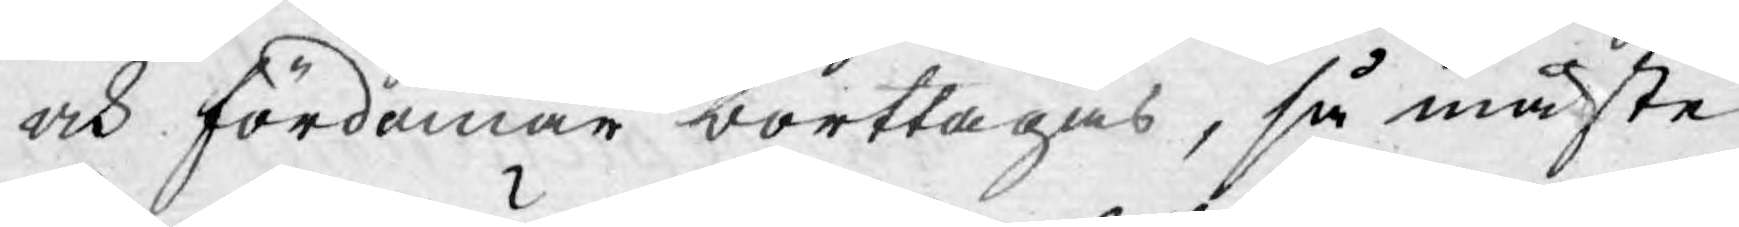och fördomar borttagas, så måste
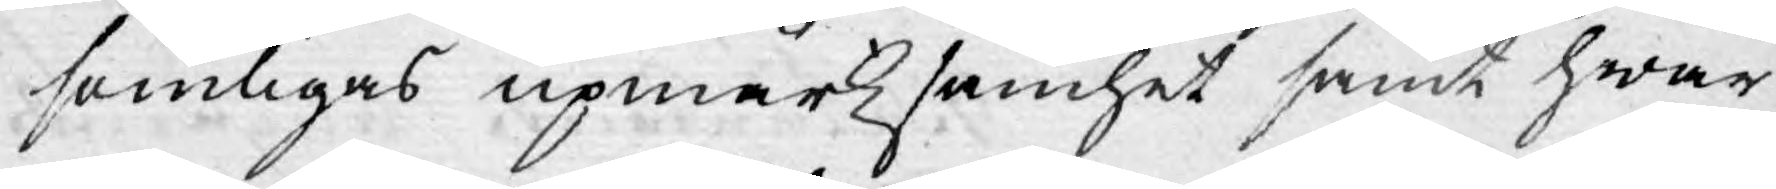somligas upmärksamhet samt hwar¬
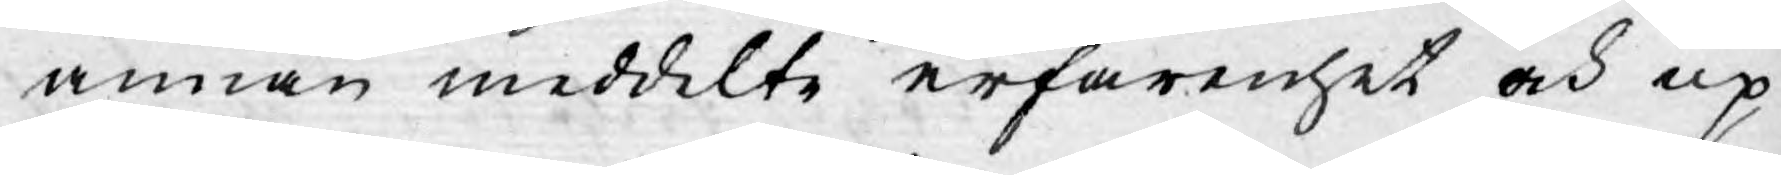annan meddelte erfarenhet och up-
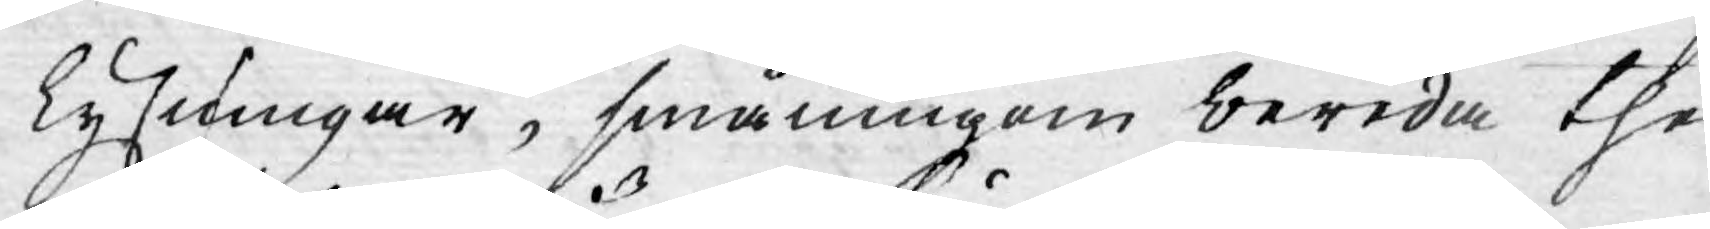lysningar, småningom bereda the
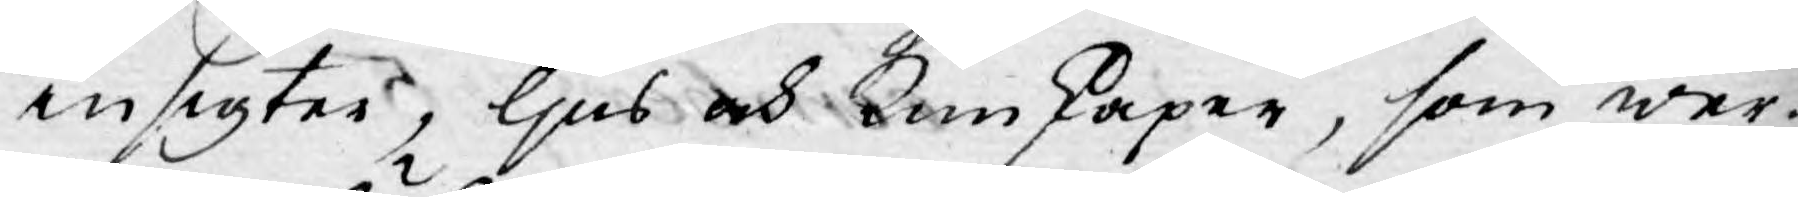insigter, ljus och Kunskaper, som wer¬
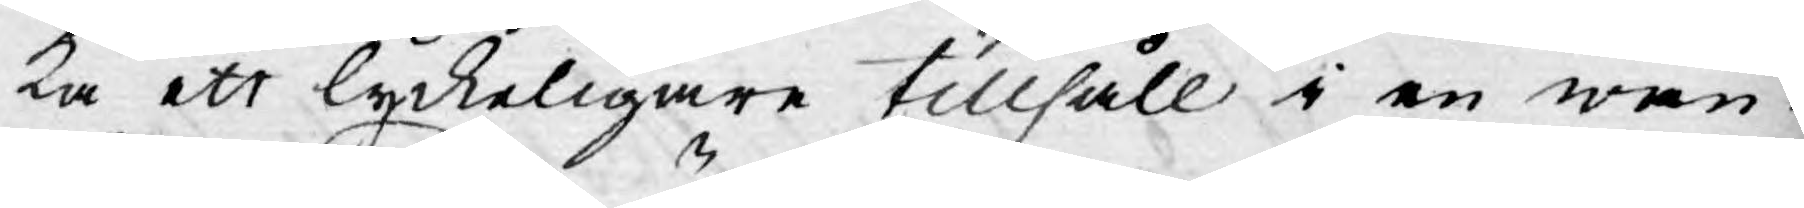ka ett lyckeligare tillhåll i en wan¬
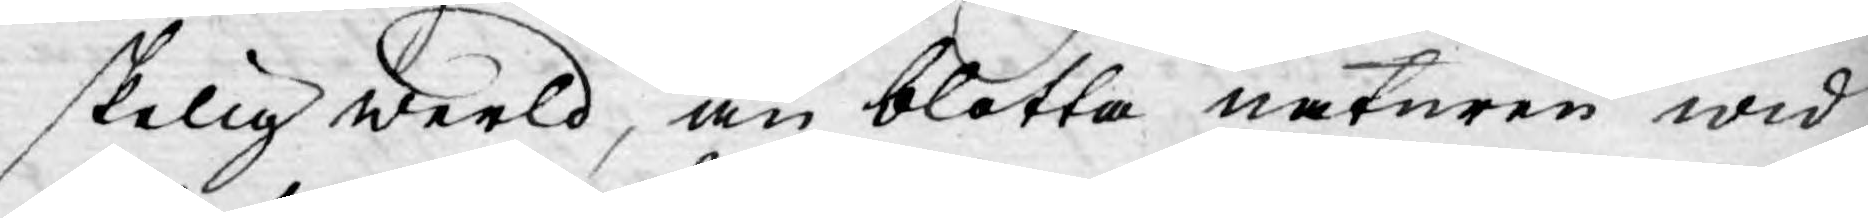skelig werld, än blotta naturen wid
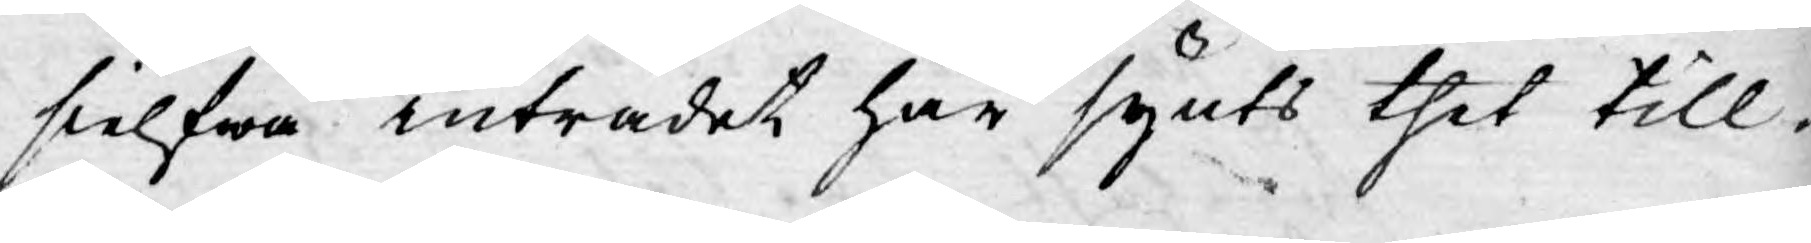sielfwa inträdet har synts thet till¬
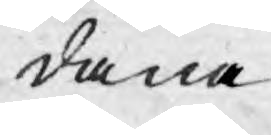dana.
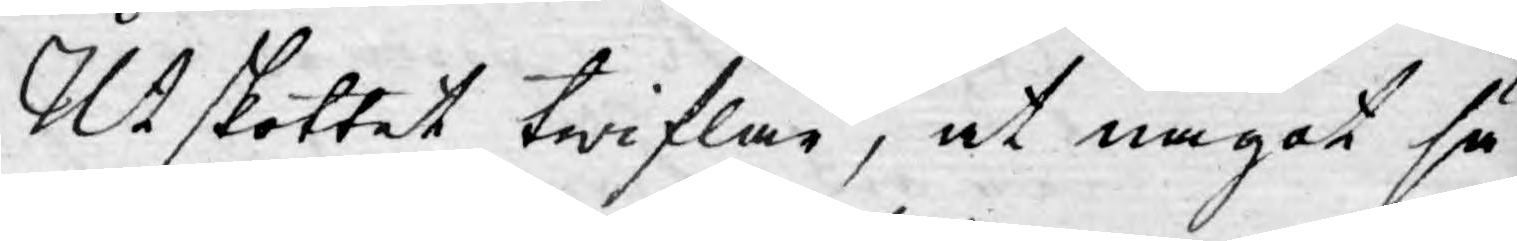Utskottet twiflar, at något sä¬
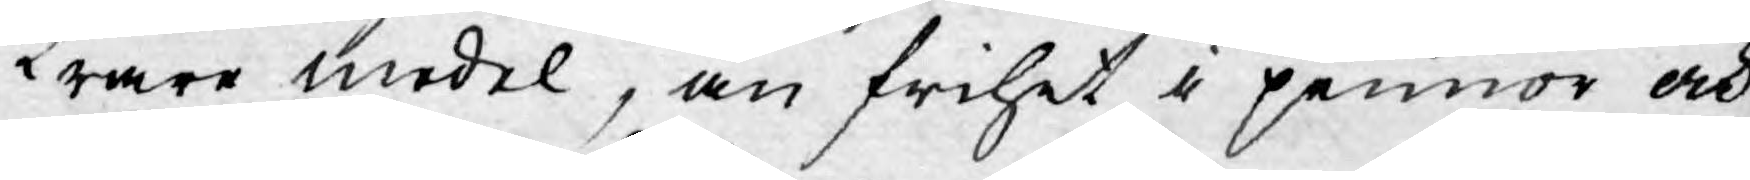krare medel, än frihet i pennor och
